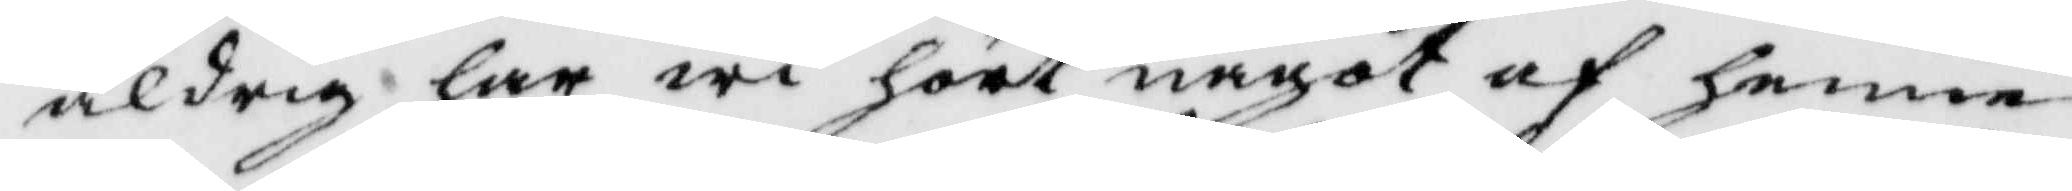aldrig har wi hört något af henne
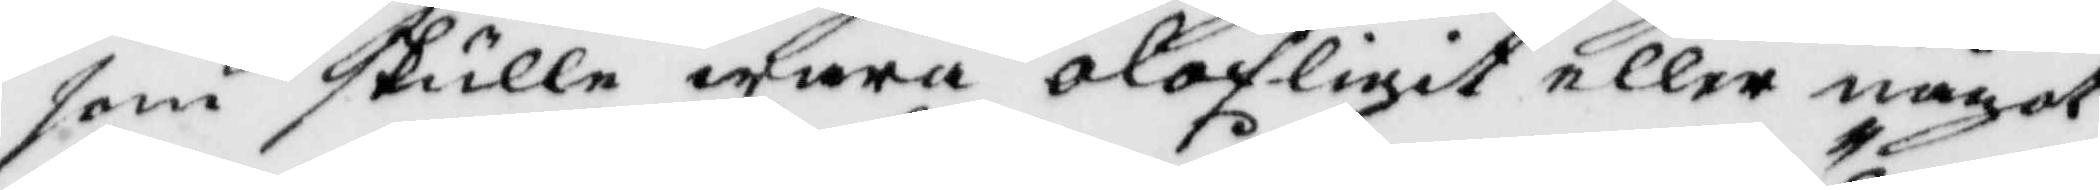som skulle wara olofligit eller något
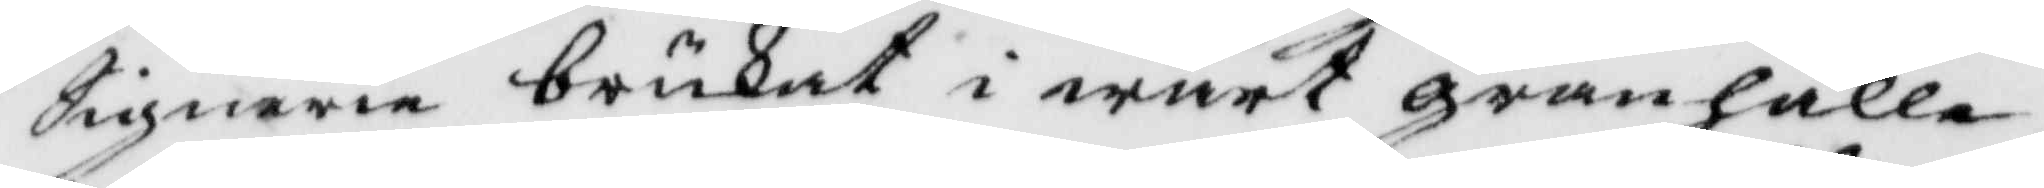Signerie brukat i wårt granhälle
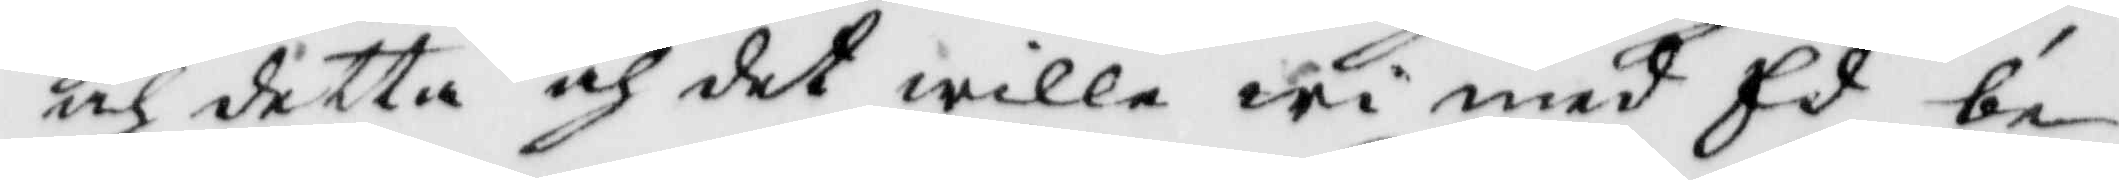och detta och det wille wi med Ed be¬
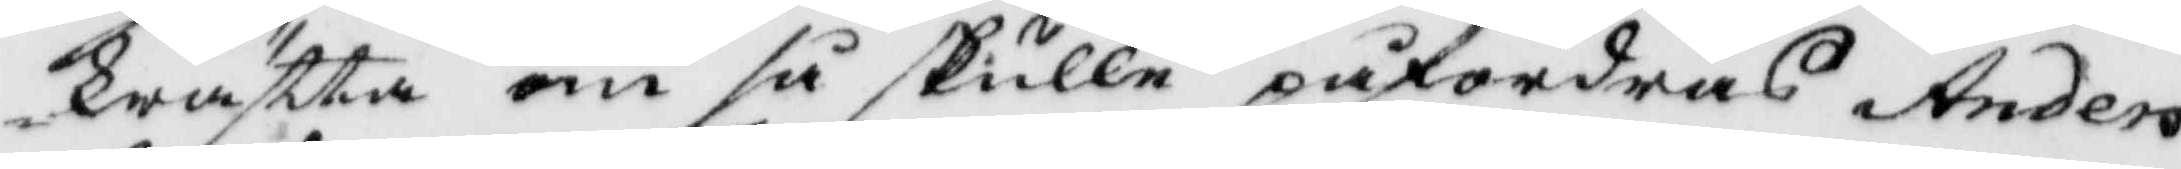kräftta om så skulle påfordras Anders¬
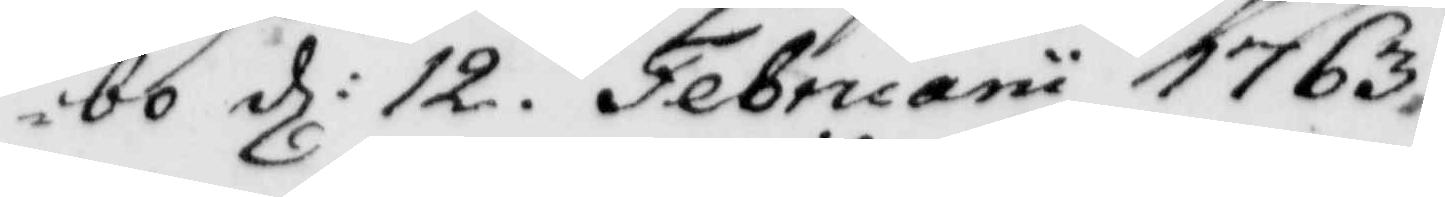bo d: 12 Februarii 1763.
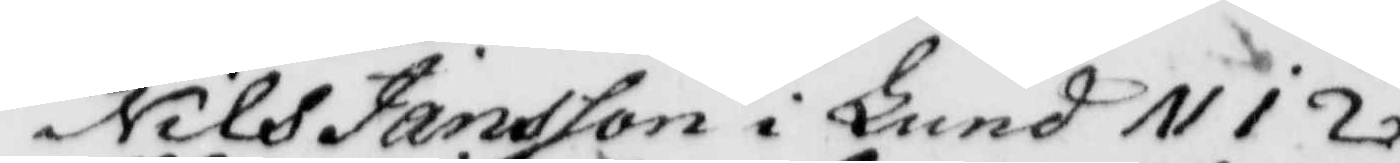Nils Jansson i Lund (BM)
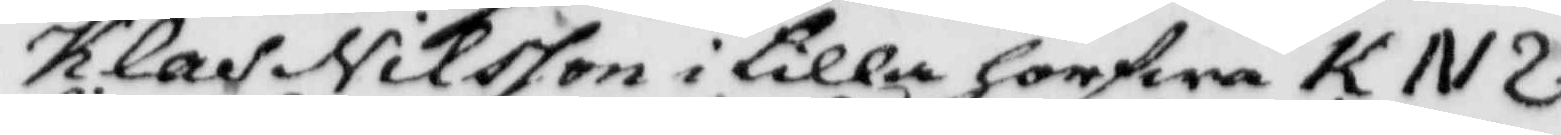Klas Nilsson i lilla horfwa (BM)
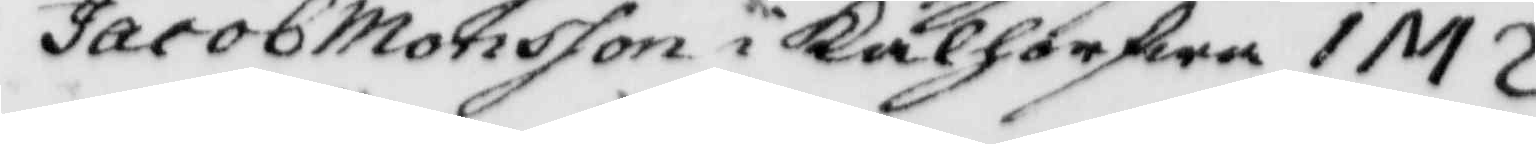Jacob Monsson i Kålhorfwa (BM)
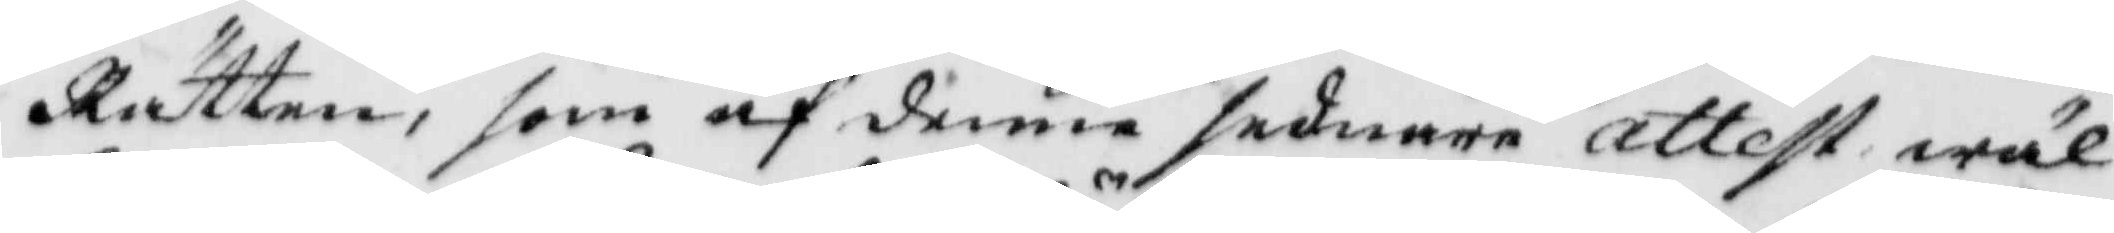Rätten, som af denne sednare attest wäl
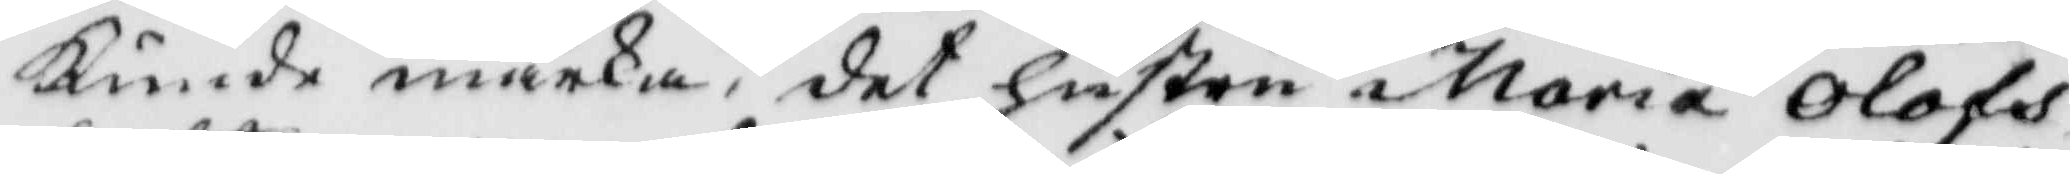Kunde märka, det hustru Maria Olofs¬
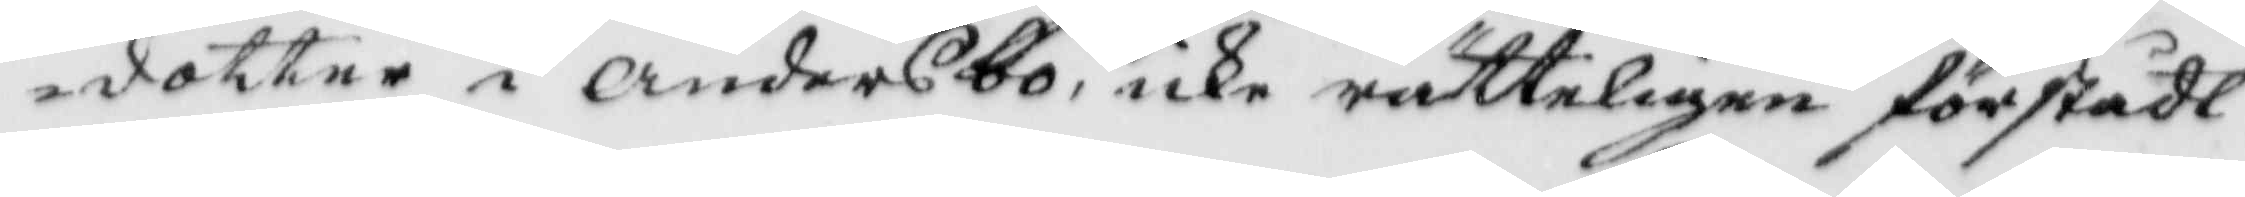dotter i Andersbo, icke rätteligen förstådt
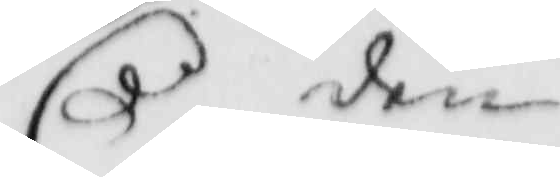den
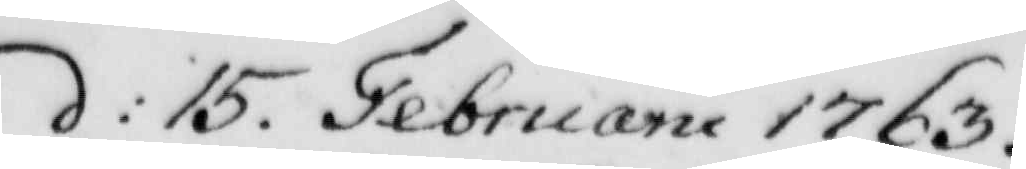d: 15 Februarii 1763.
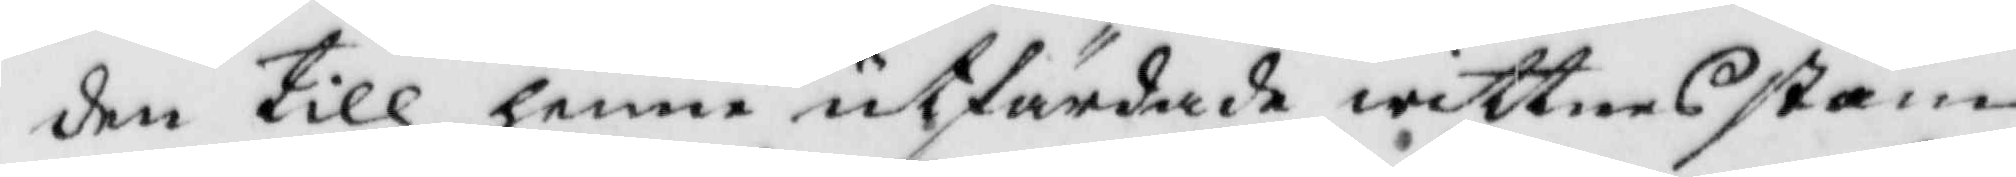den till henne utfärdade wittnerstäm¬
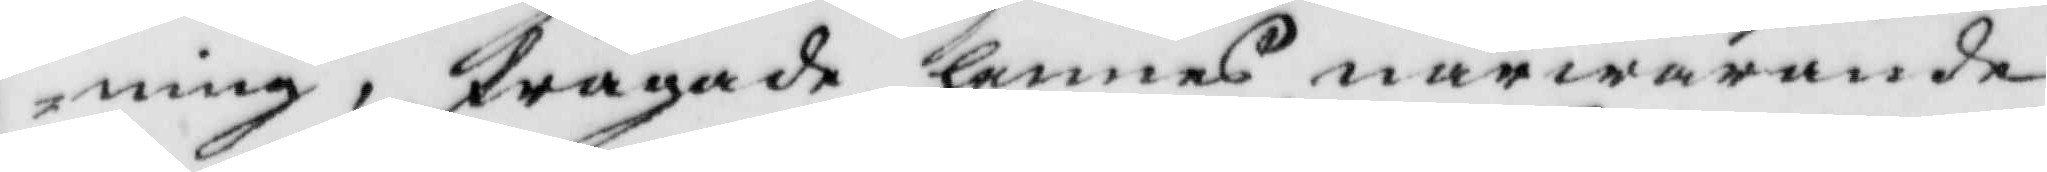ning, frågade hennes närwarande
